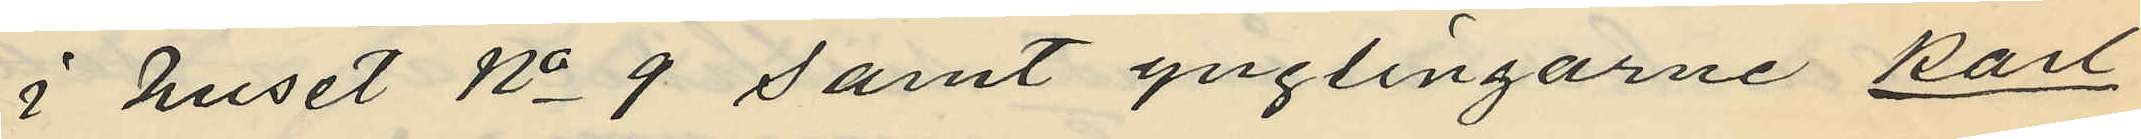i huset No 9 samt ynglingarne Karl
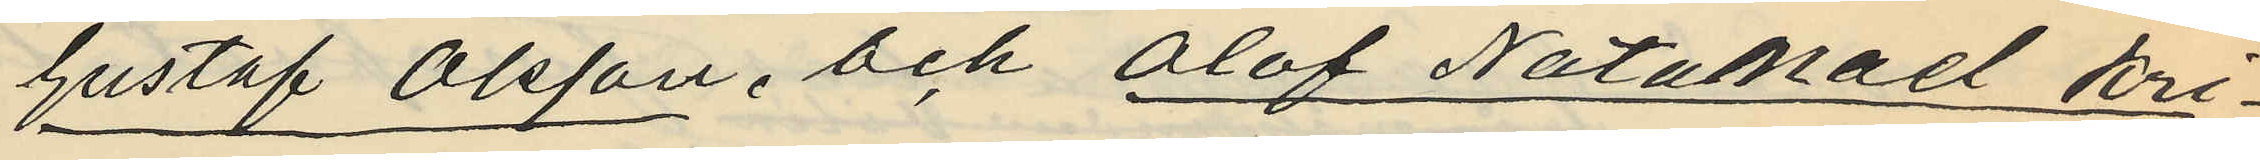Gustaf Olsson, och Olof Natanael Kri¬
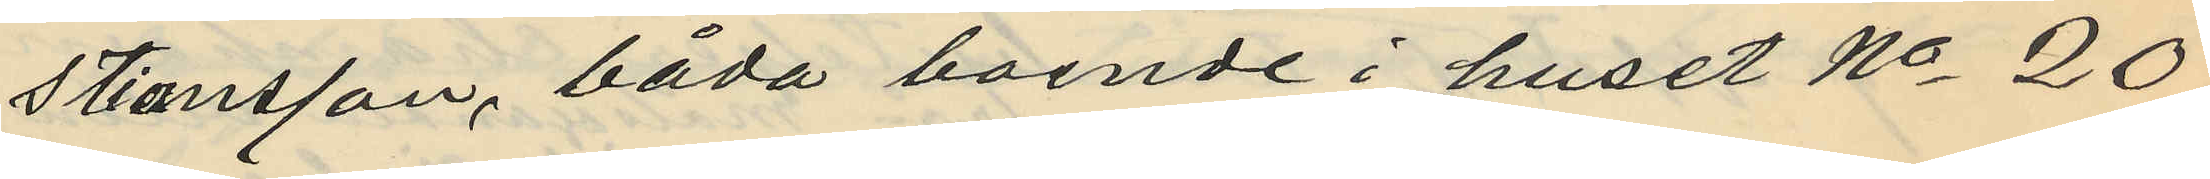stiansson, båda boende i huset No 20
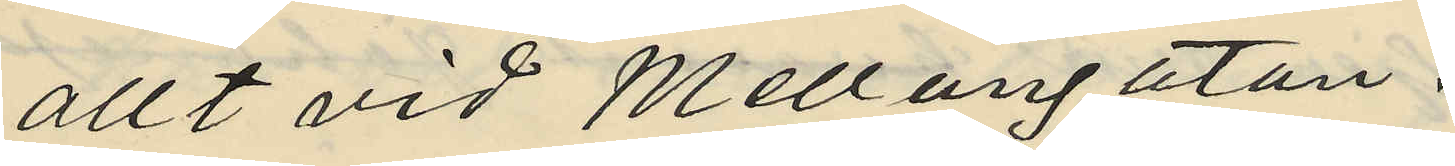allt vid Mellangatan.
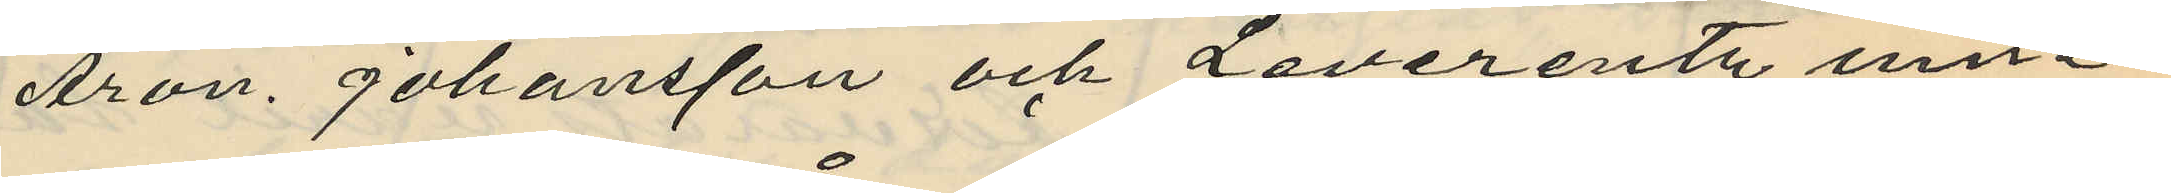Aron Johansson och Leverentz inne¬
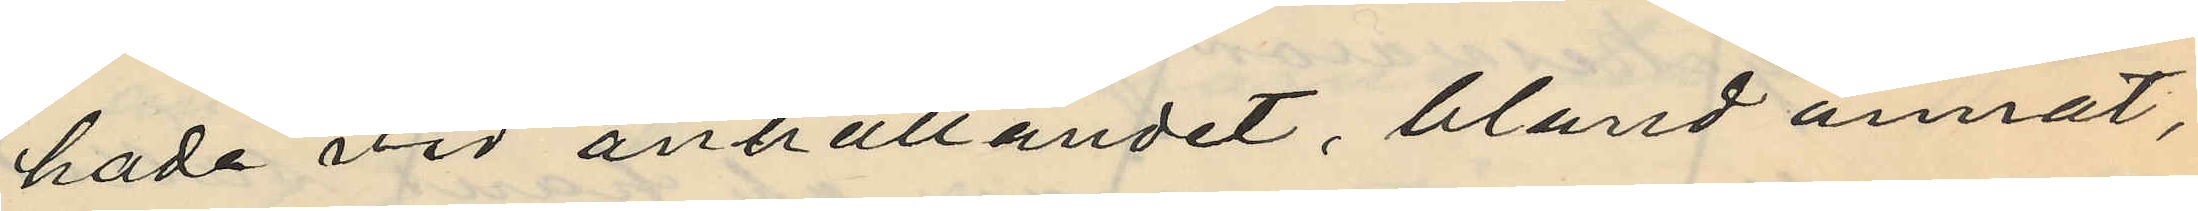hade vid anhållandet, bland annat,
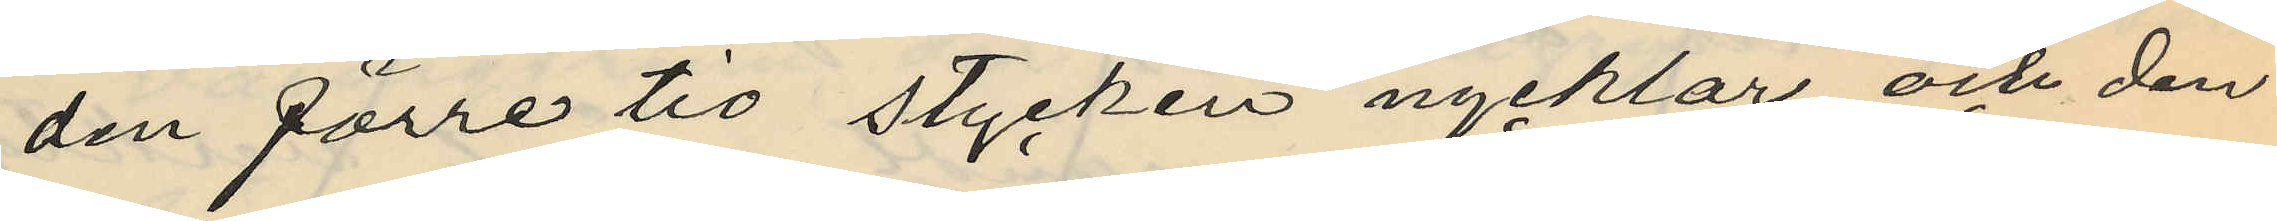den förre tio stycken nycklar och den
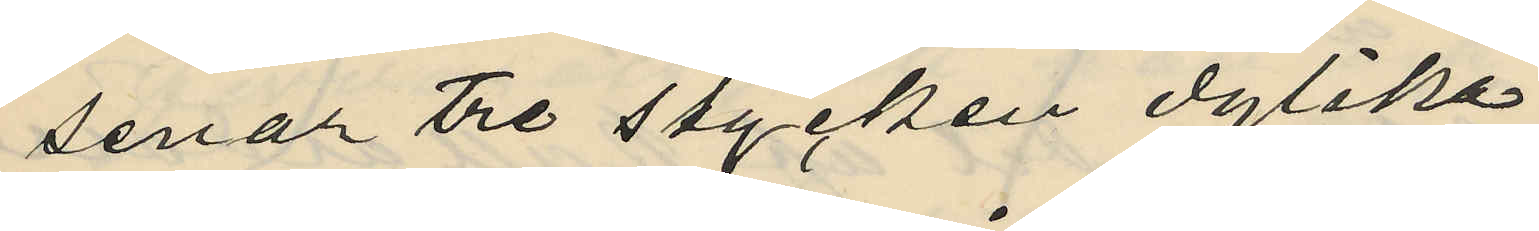senar tre stycken dylika.
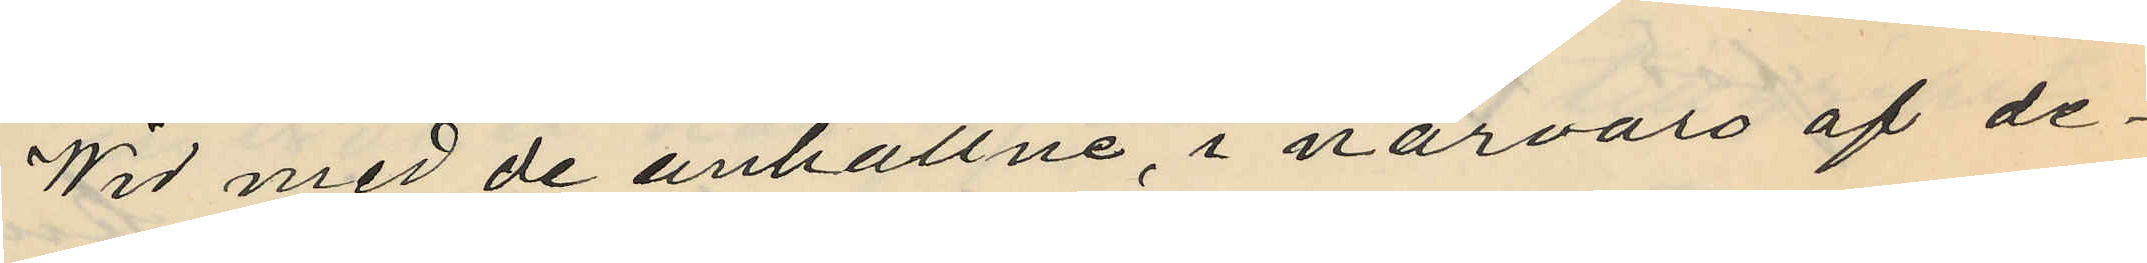Wid med de anhållne, i närvaro af de¬
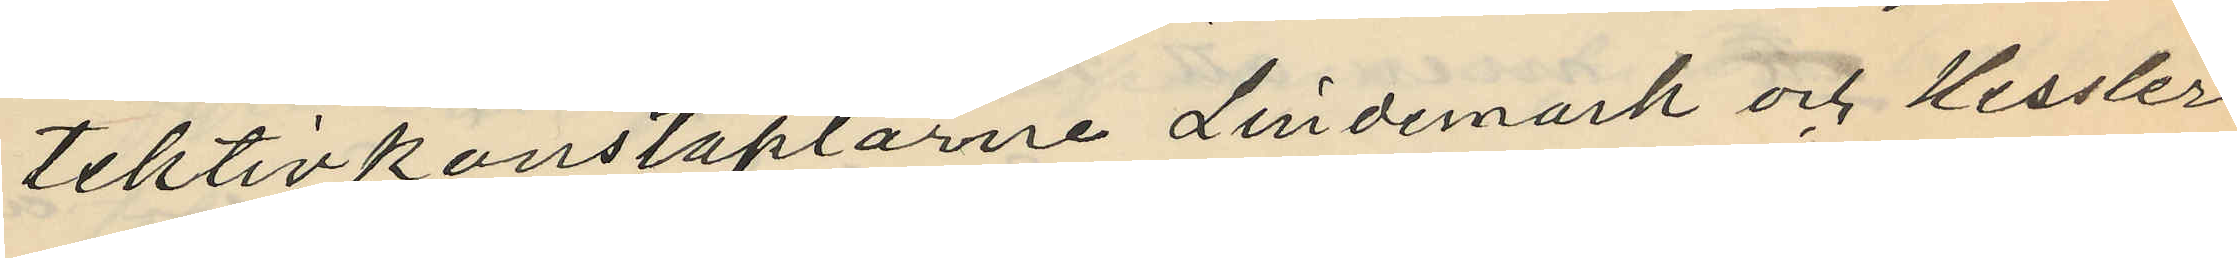tektivkonstaplarne Lindemark och Hessler
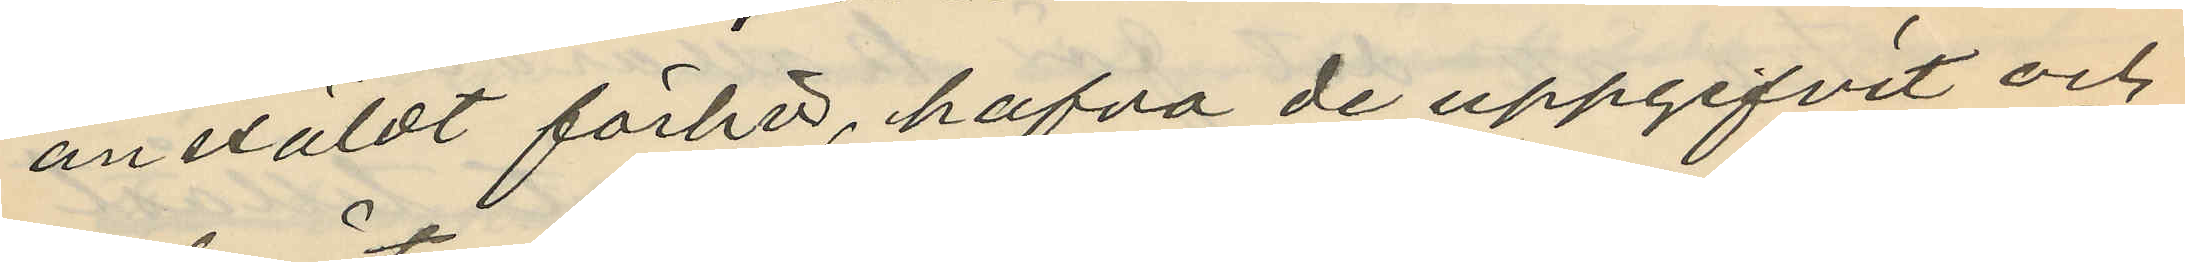anstäldt förhör, hafva de uppgifvit och
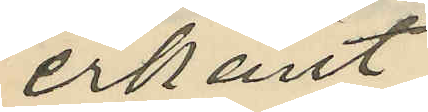erkänt:
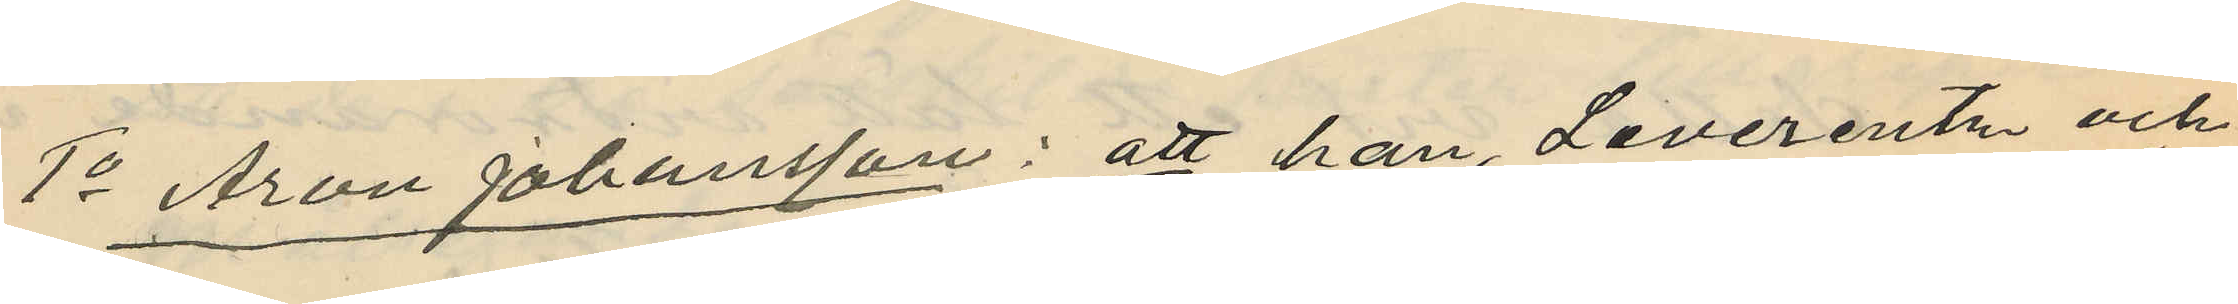1o Aron Johansson: att han, Leverentz och
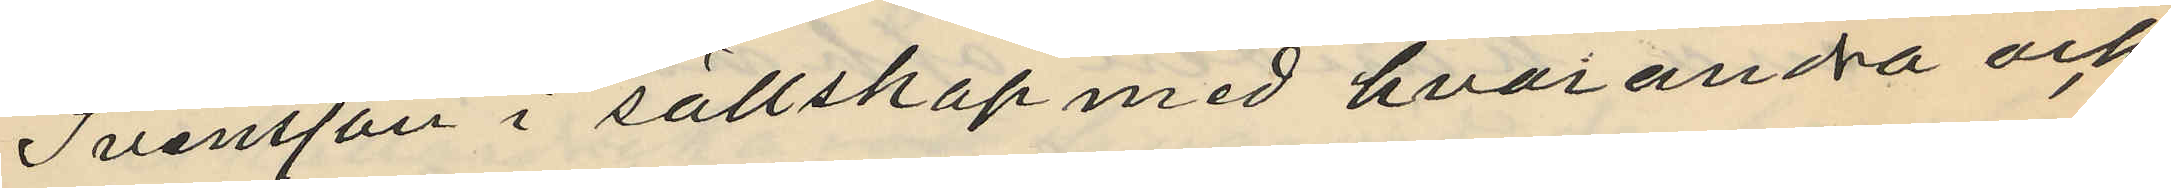Svensson i sällskap med hvarandra och
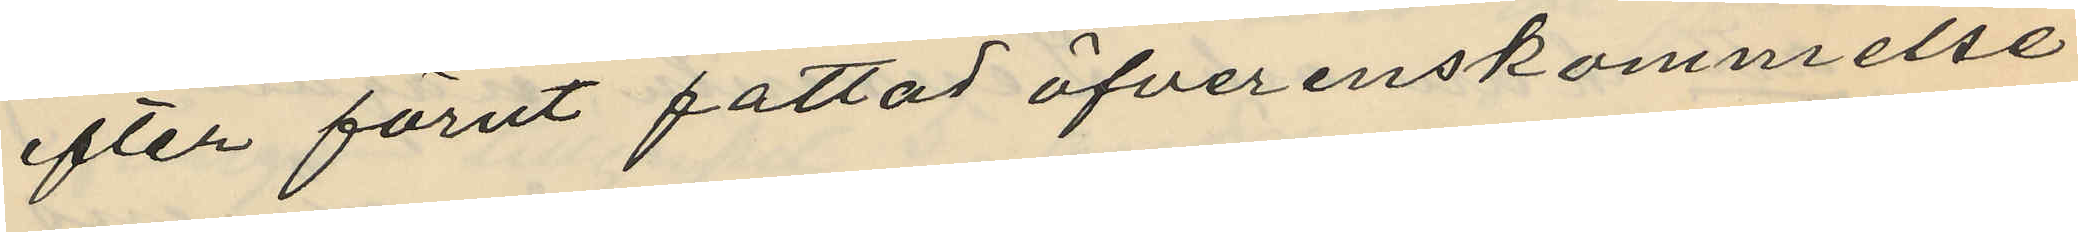efter förut fattad öfverenskommelse
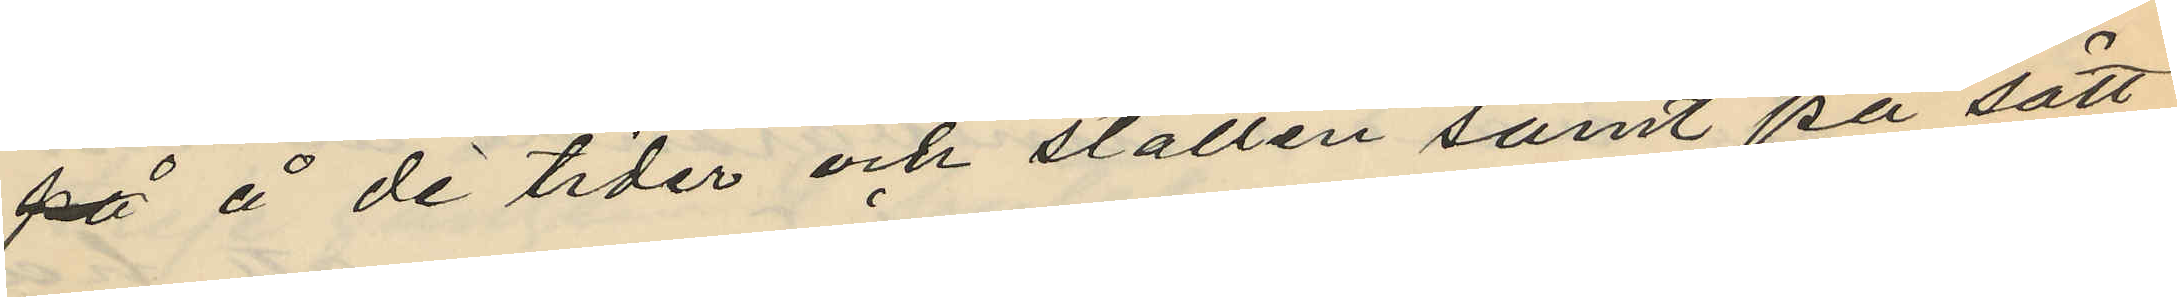på å de tider och ställen samt på sätt
